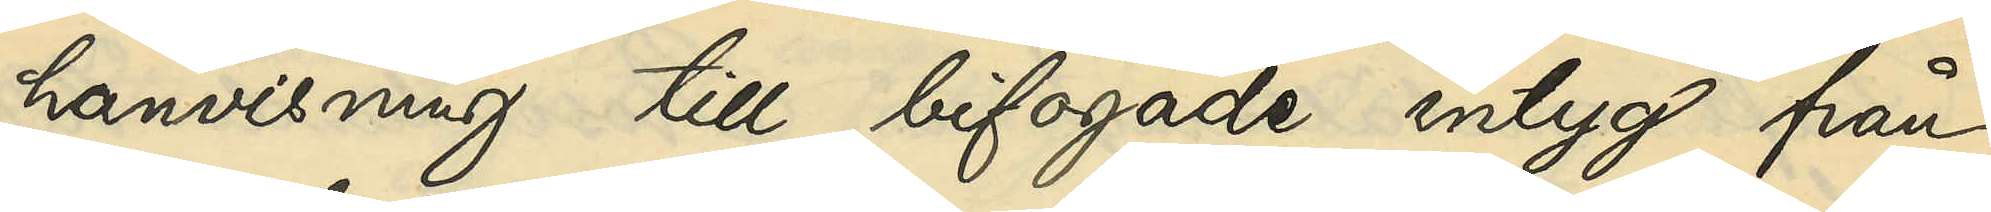hänvisning till bifogade intyg från
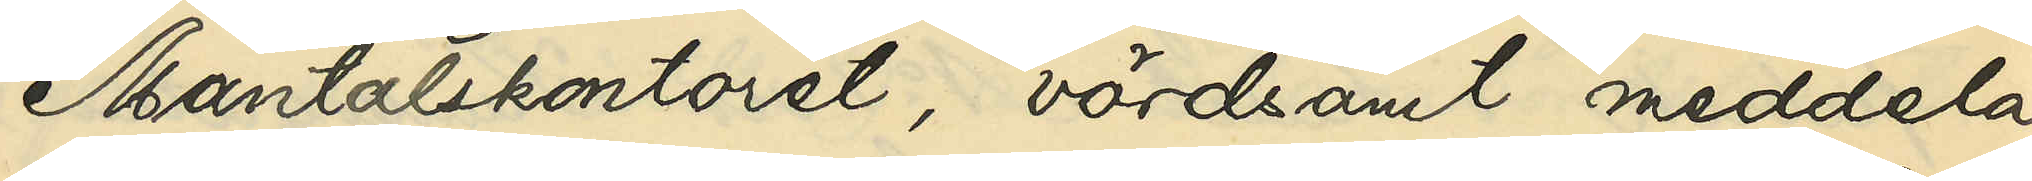Mantalskontoret, vördsamt meddela,
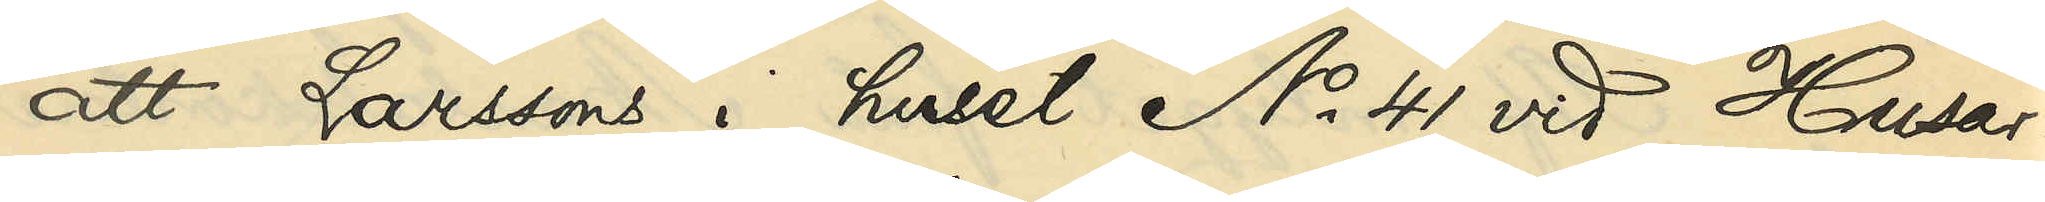att Larssons i huset No 41 vid Husar¬
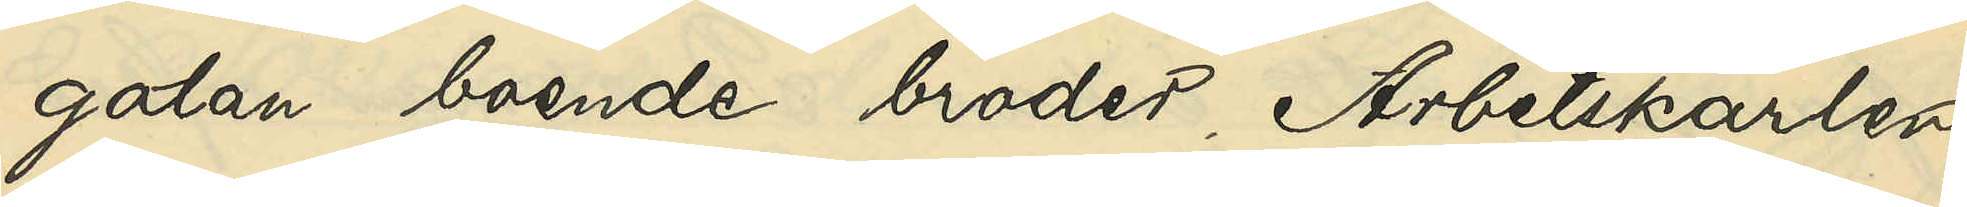gatan boende broder Arbetskarlen
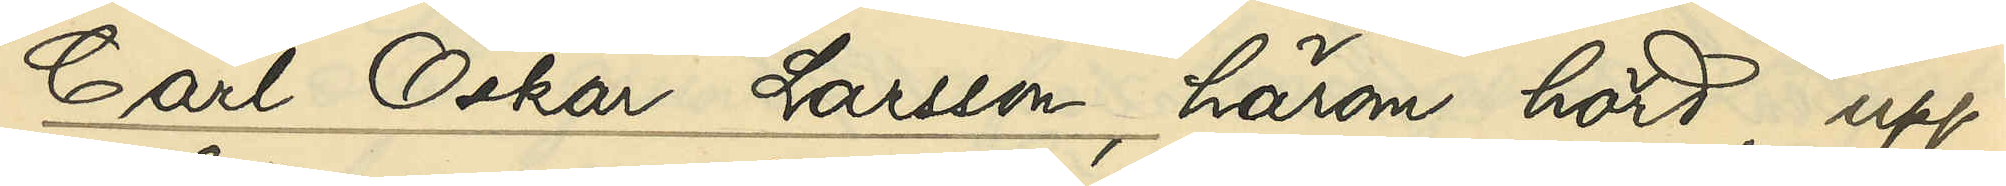Carl Oskar Larsson, härom hörd, upp¬
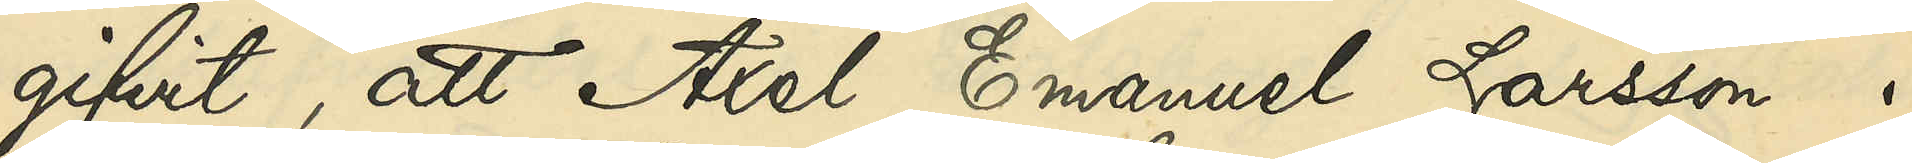gifvit, att Axel Emanuel Larsson i
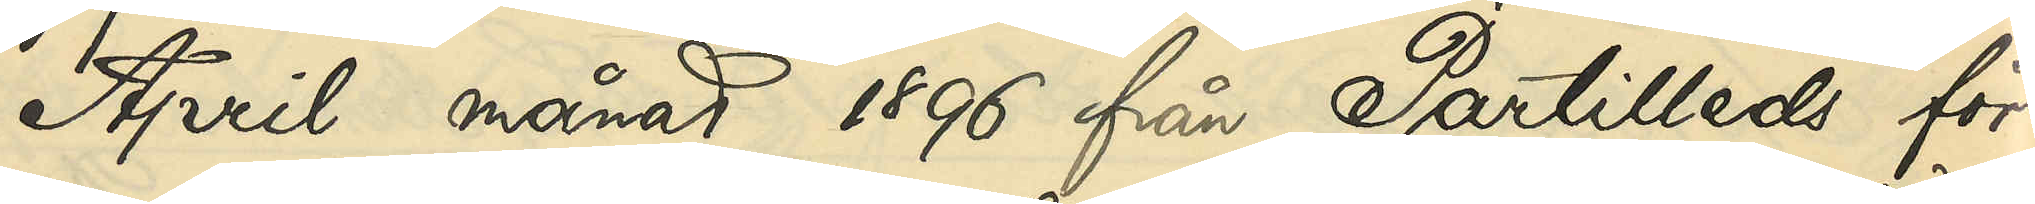April månad 1896 från Partilleds för¬
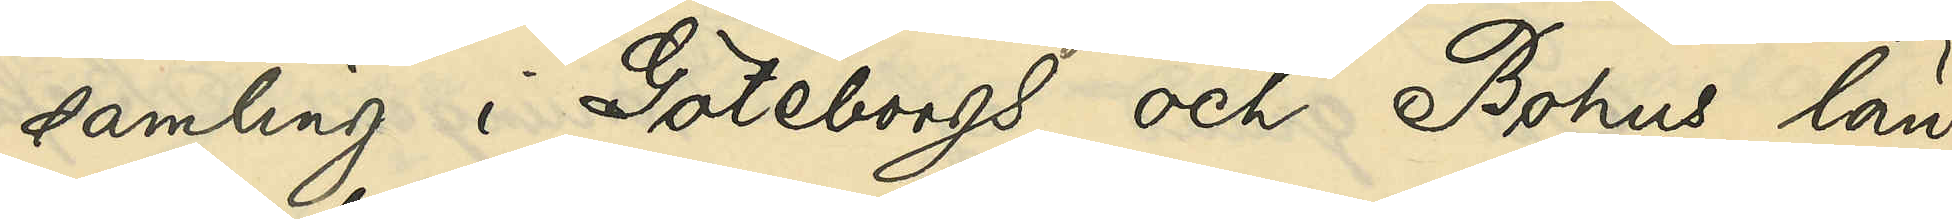samling i Göteborgs och Bohus län,
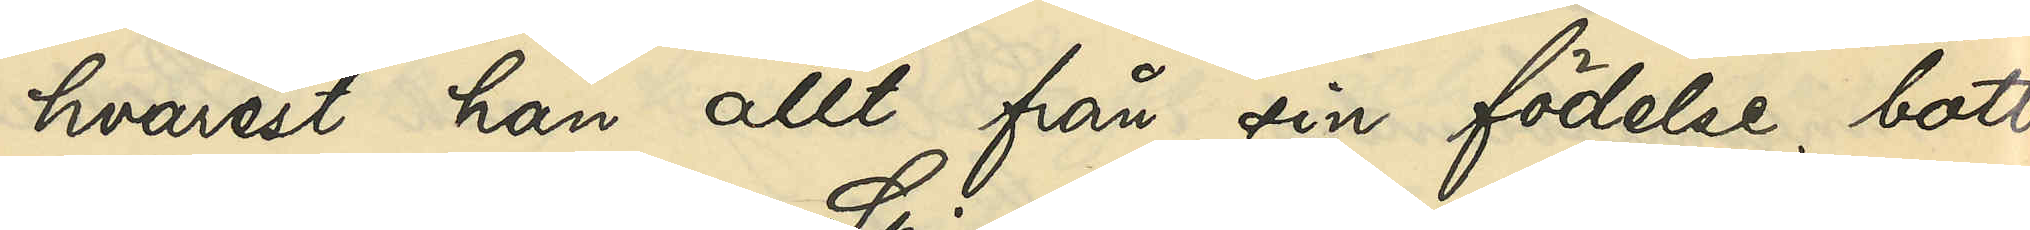hvarest han allt från sin födelse bott
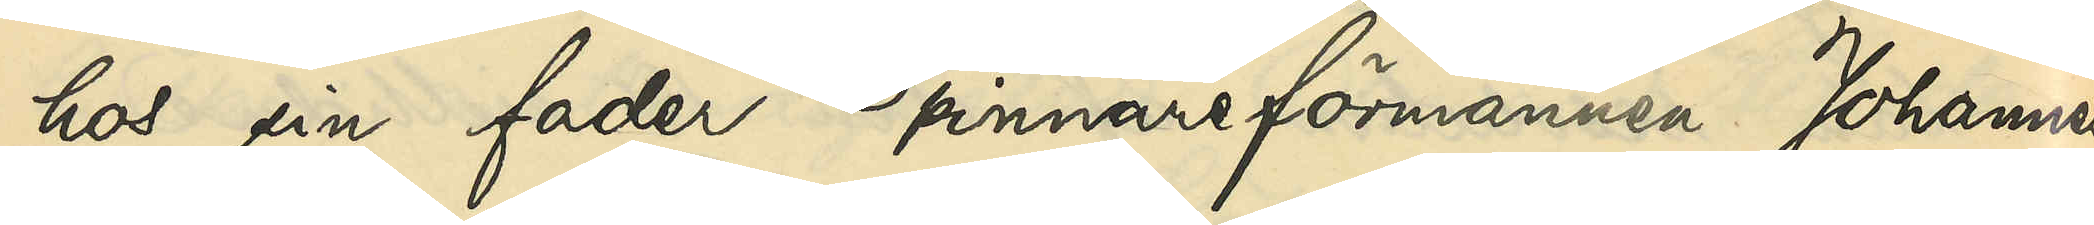hos sin fader Spinnareförmannen Johannes
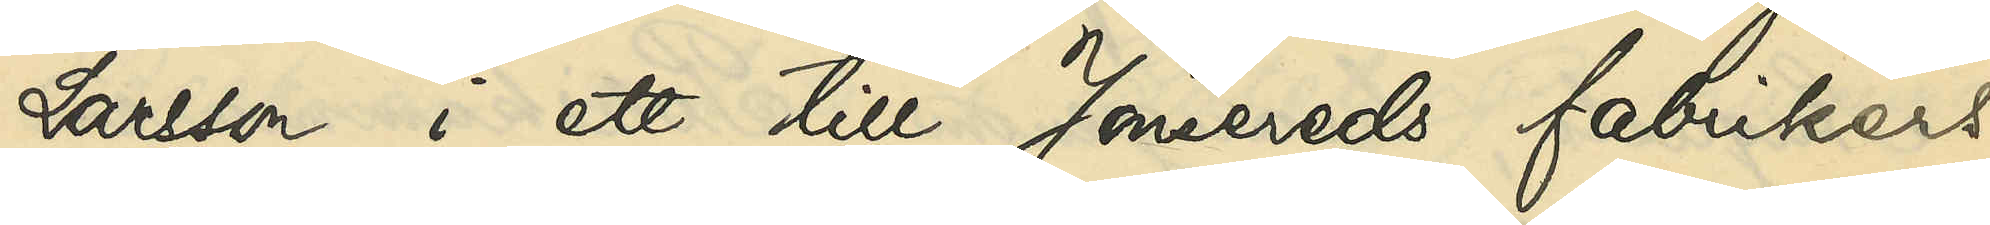Larsson i ett till Jonsereds fabrikers
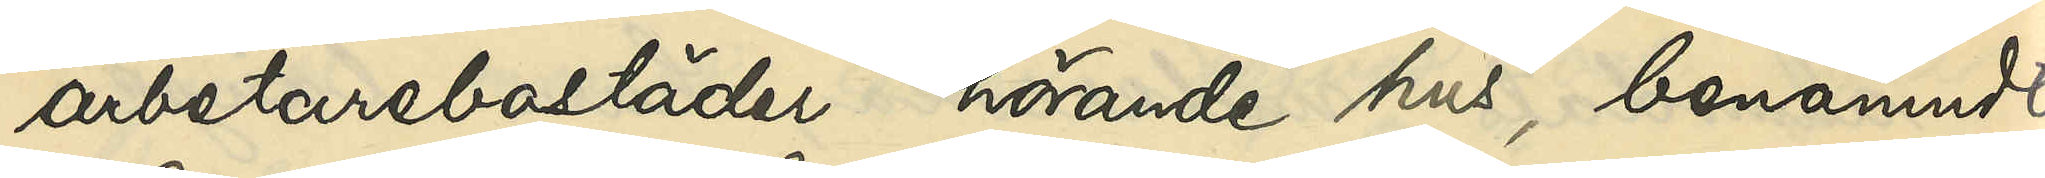arbetarebostäder hörande hus, benämndt
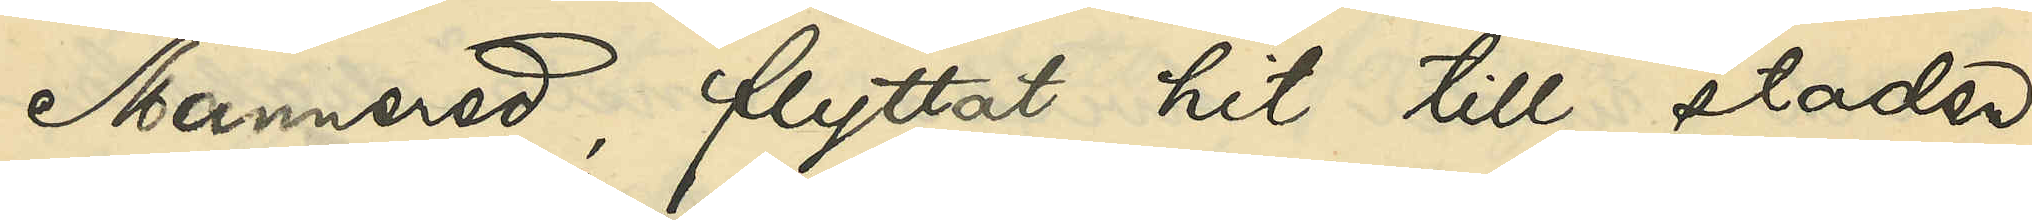Mannered, flyttat hit till staden,
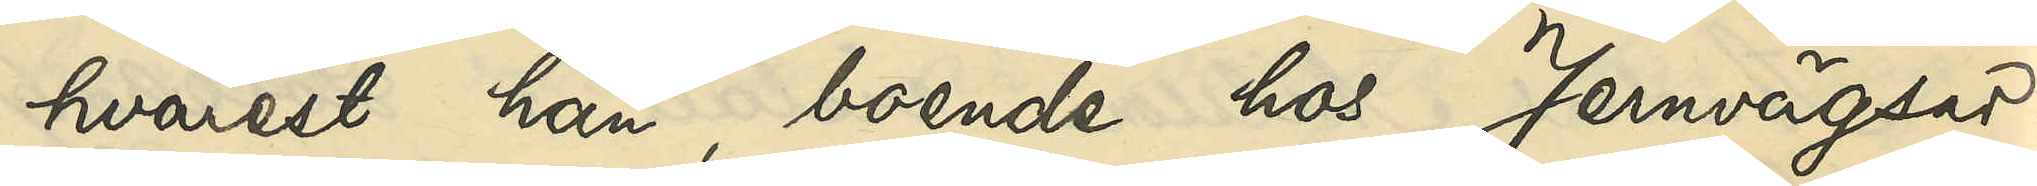hvarest han, boende hos Jernvägsar¬
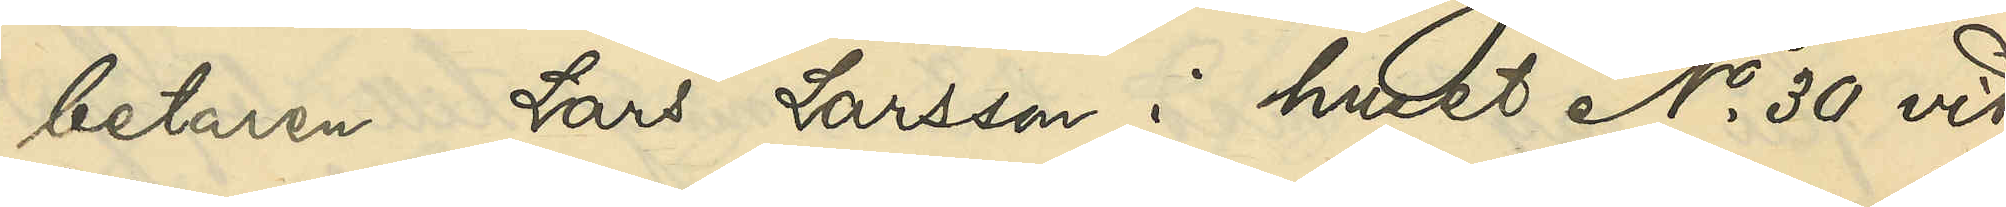betaren Lars Larsson i huset No 30 vid
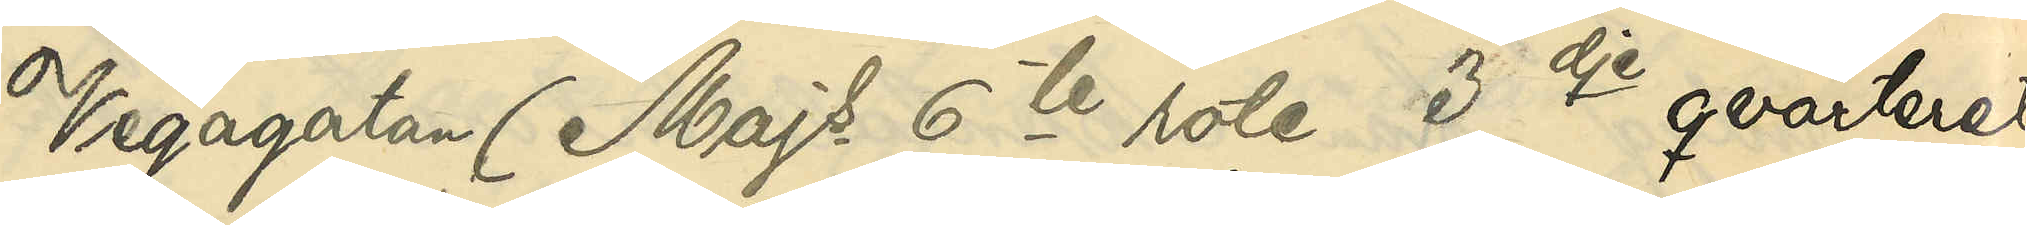Vegagatan (Majs 6te rote 3dje qvarteret
